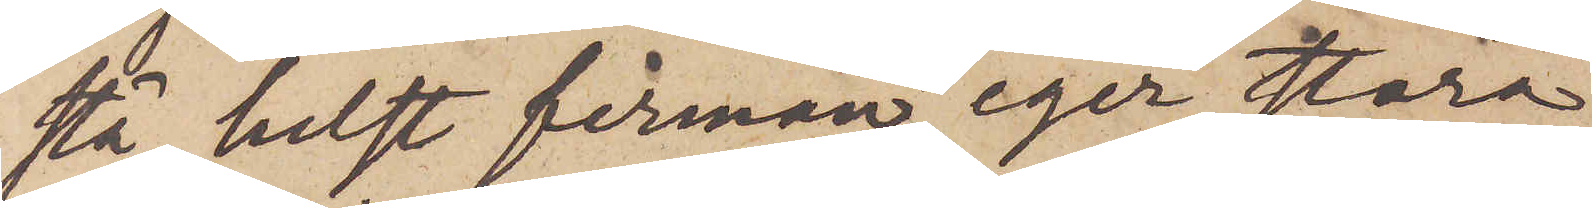stå, helst firman eger stora
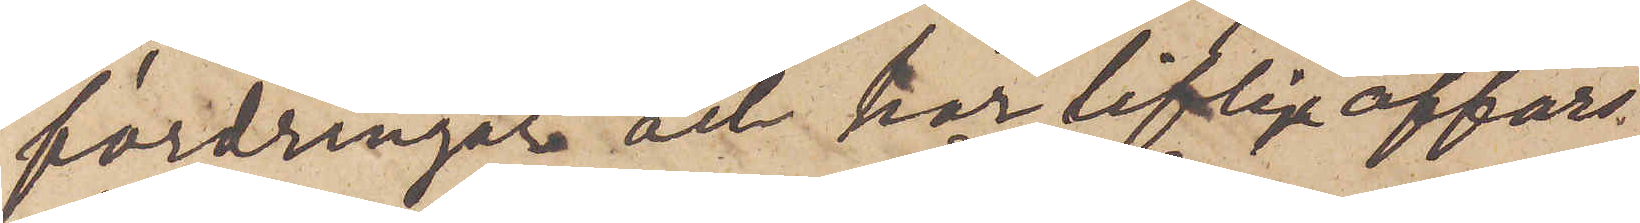fordringar och har liflig affärs¬
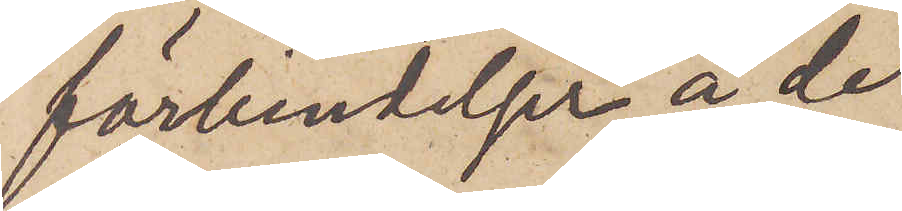förbindelser å de
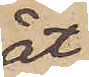åt
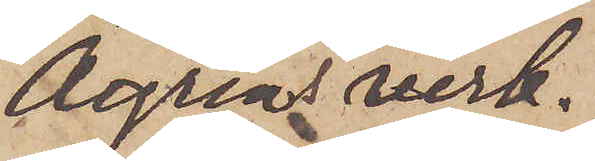Ågrens verk¬
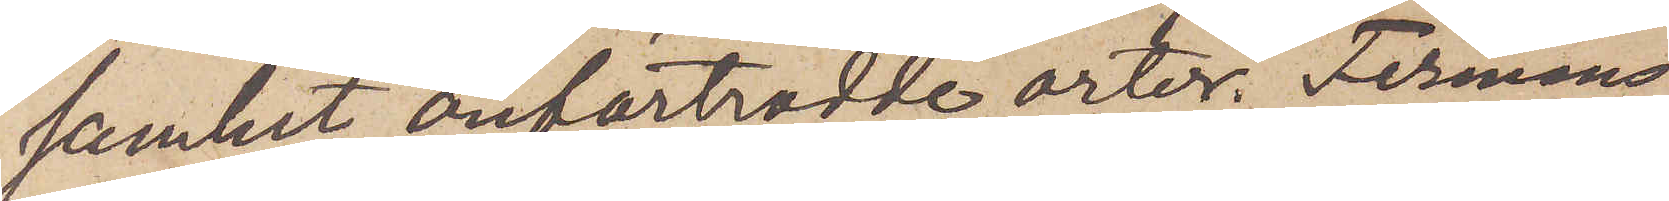samhet anförtrodde orter. Firmans
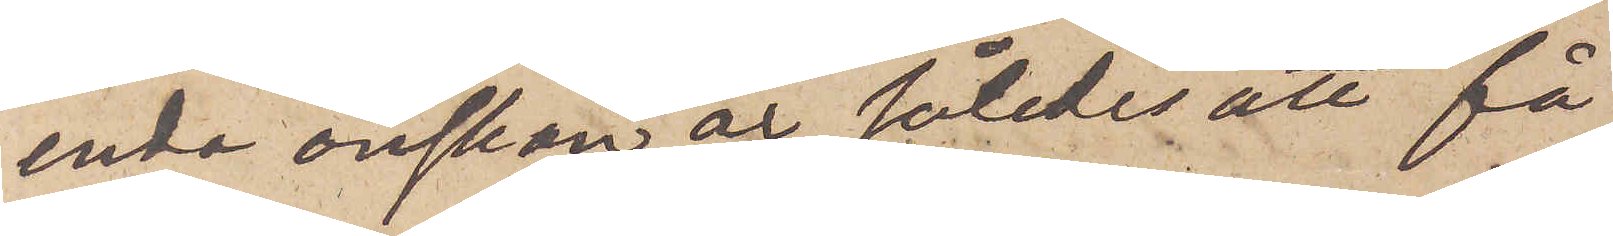enda önskan är således att få
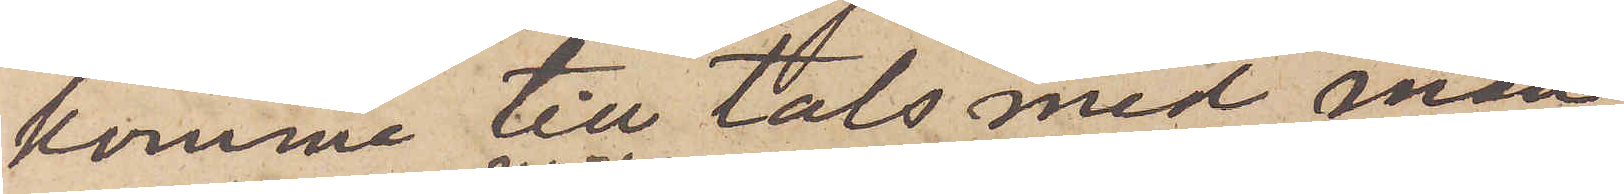komma till tals med man¬
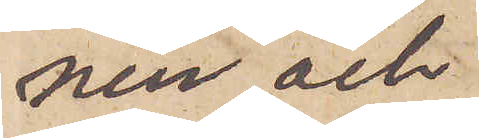nen och
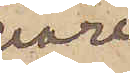vore
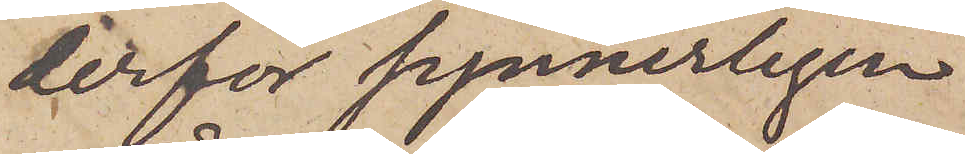derför synnerligen
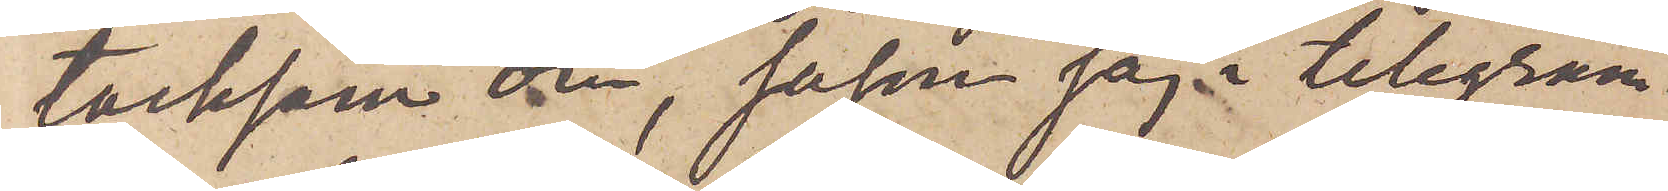tacksam om, såsom jag i telegram¬
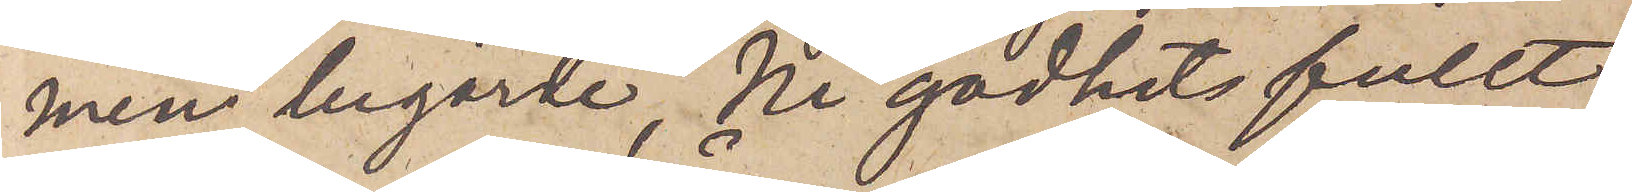men begärde, Ni godhetsfullt
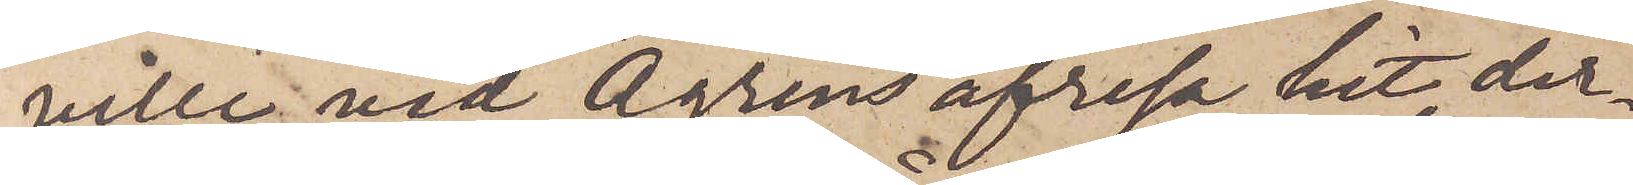ville vid Ågrens afresa hit, der¬
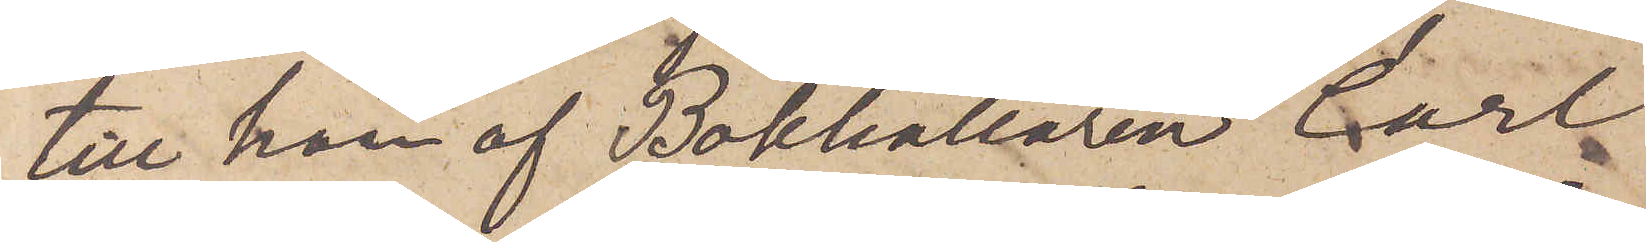till han af Bokhållaren Carl
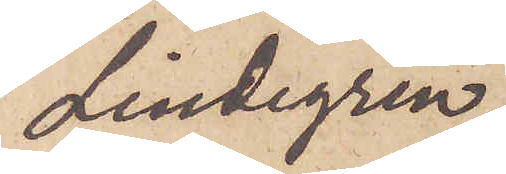Lindegren
